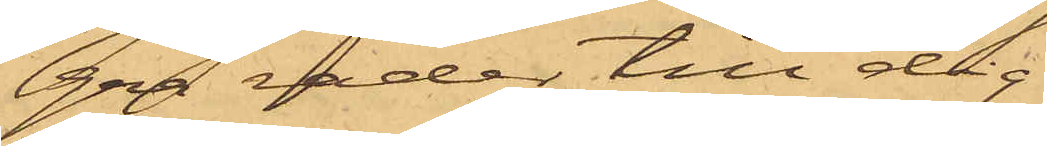gra rader till dig
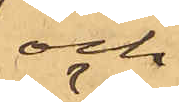och
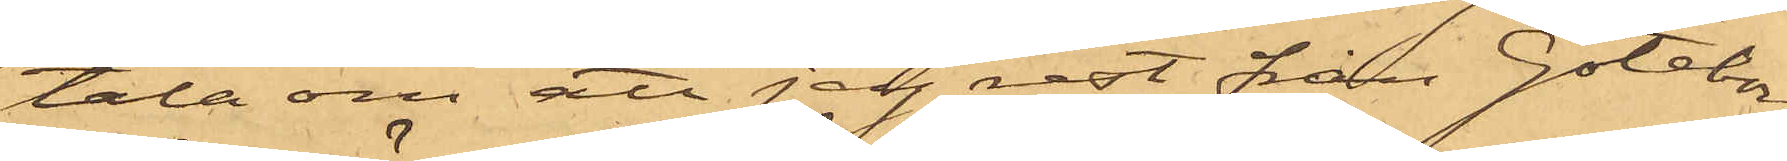tala om att jag rest från Göteborg
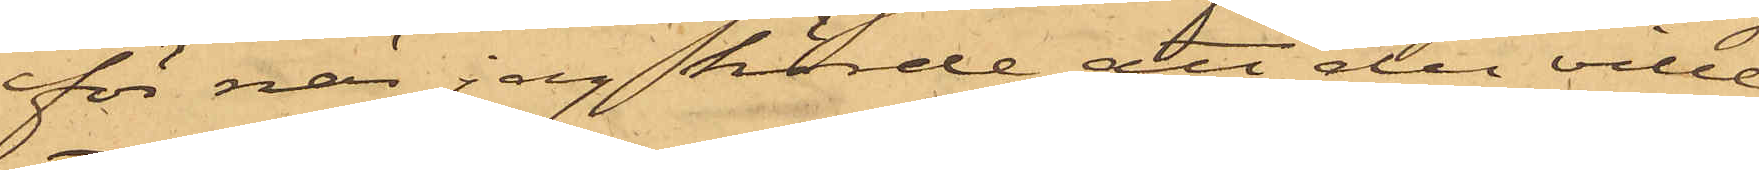för när jag hörde att du ville
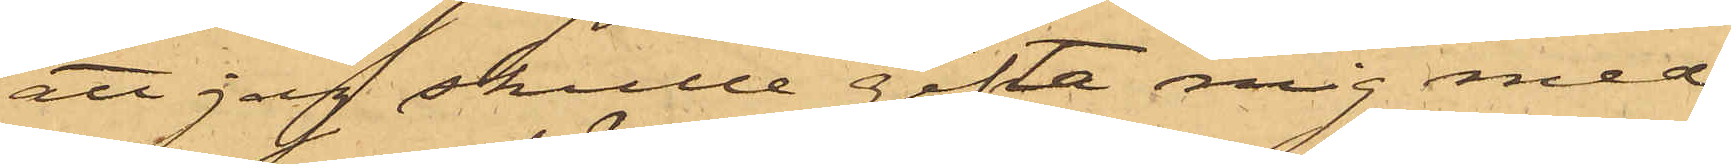att jag skulle gifta mig med
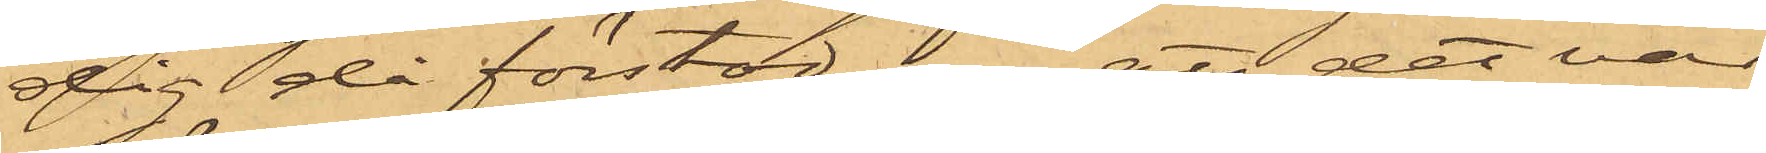dig då förstod jag att det var
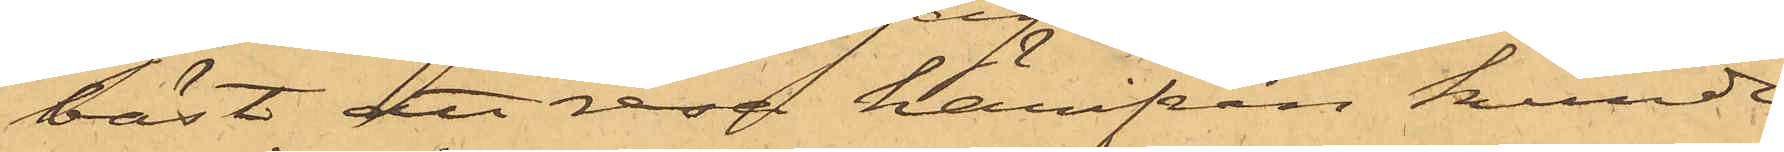bäst att resa härifrån kunde
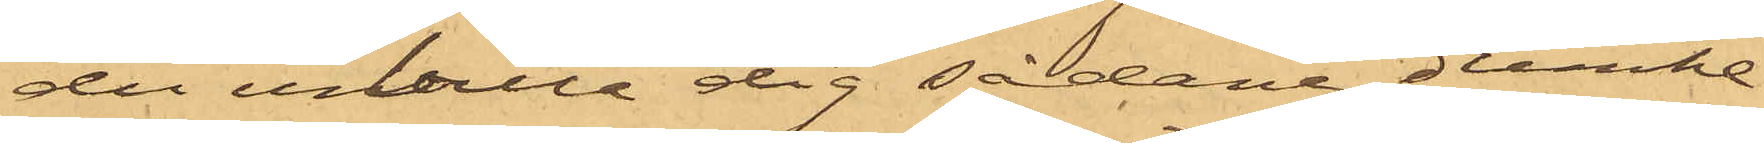du inbilla dig sådana dumhe¬
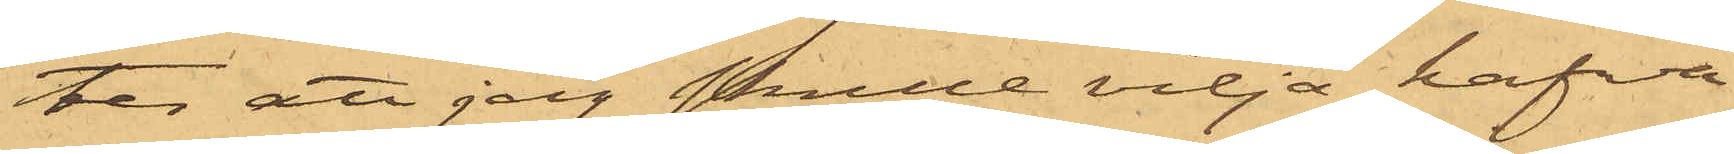ter att jag skulle vilja hafva
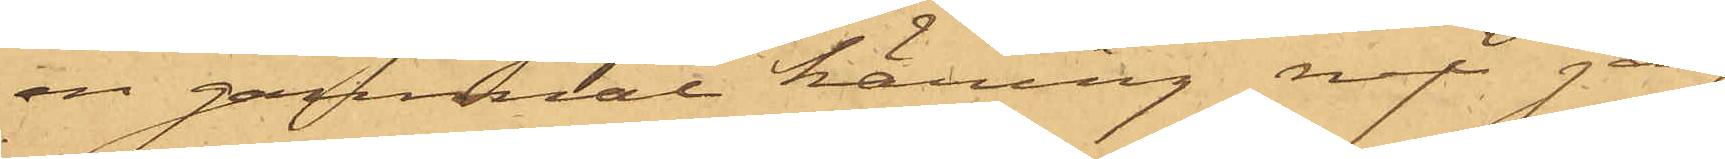en gammal käring nej jag
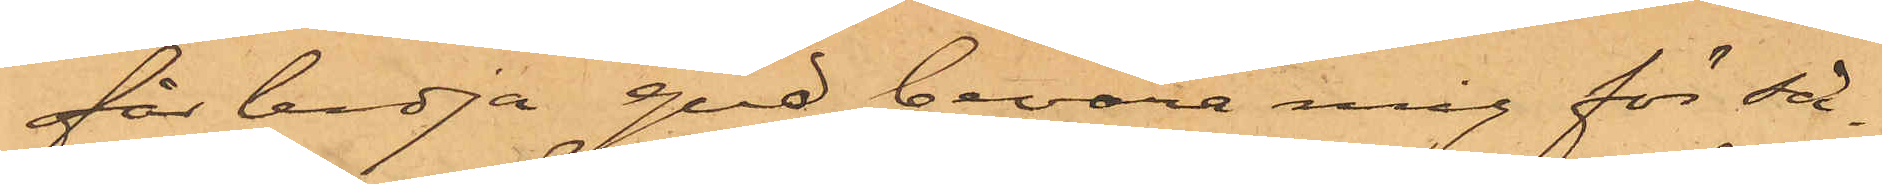får bedja gud bevara mig för så¬
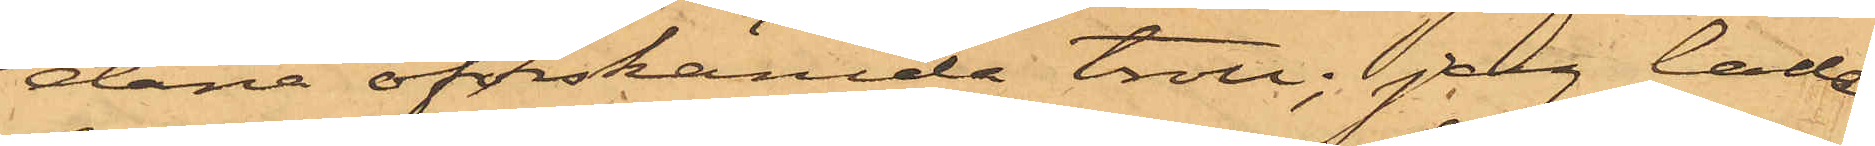dana oförskämda troll; jag lade
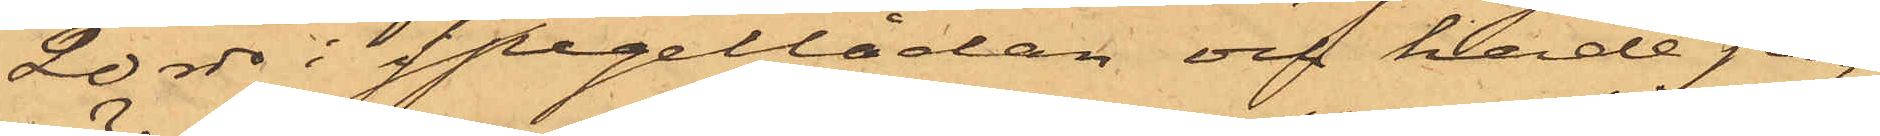20 rdr i spegellådan och hade jag
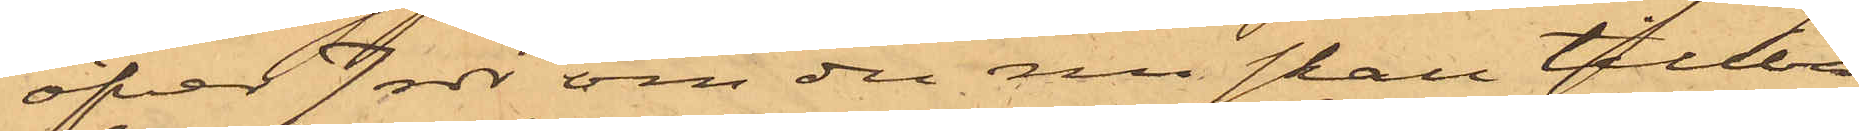öfver 7 rdr om du nu skall tillba¬
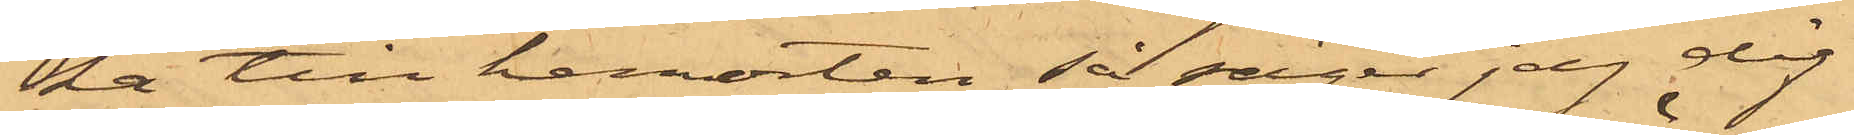ka till hemorten så säger jag dig
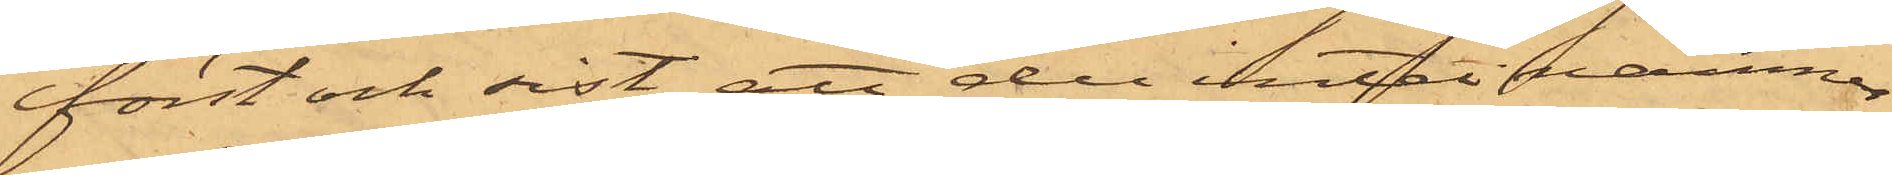först och sist att der intet nämner
